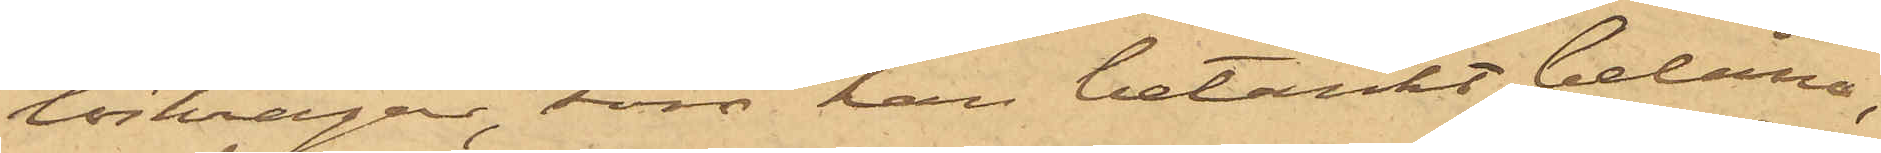löskragar, som han betänkt belåna,
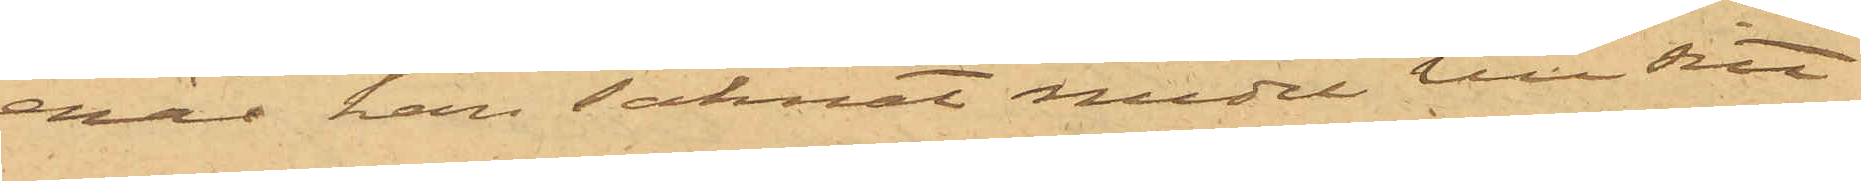enär han saknat medel till sitt
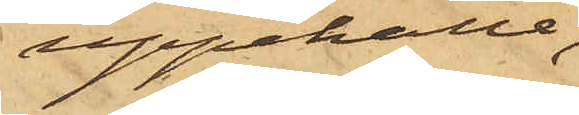uppehälle;
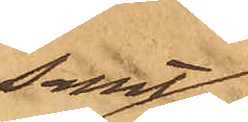samt
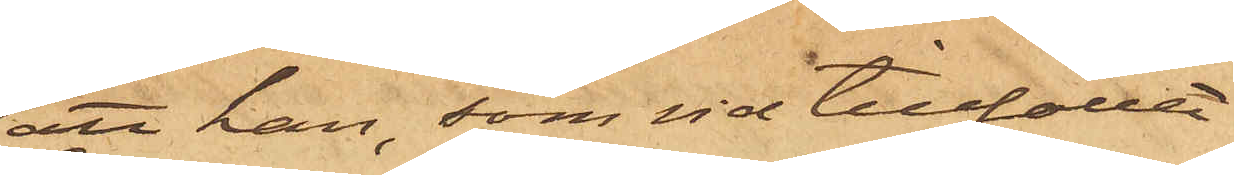att han, som vid tillfället
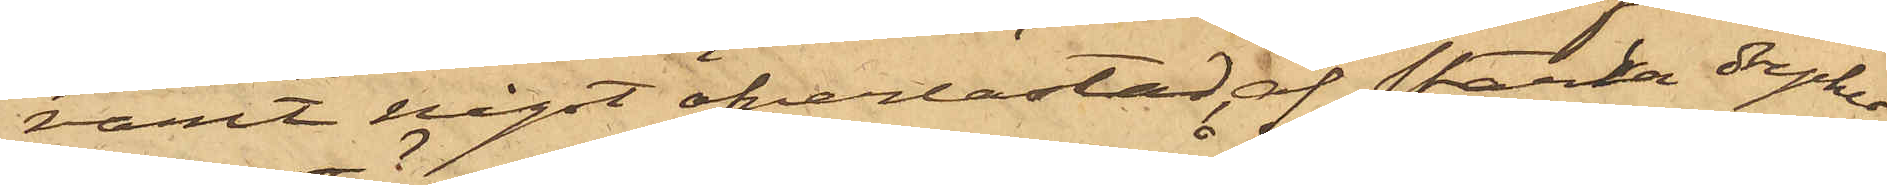varit något öfverlastad af starka drycker,
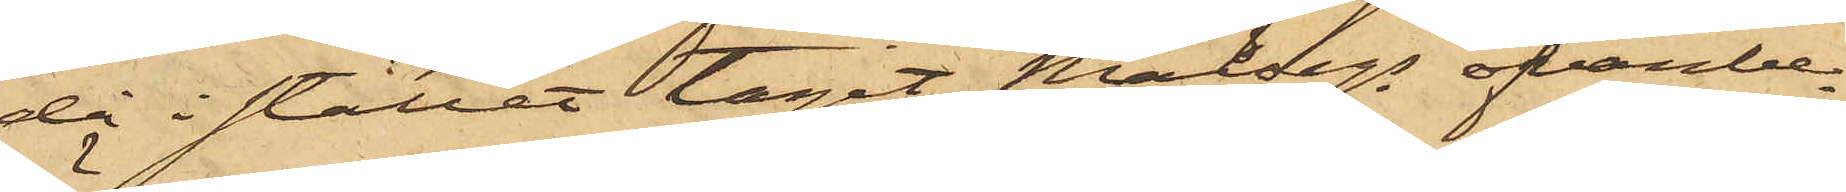då i stället tagit Målsegs ofvanbe¬
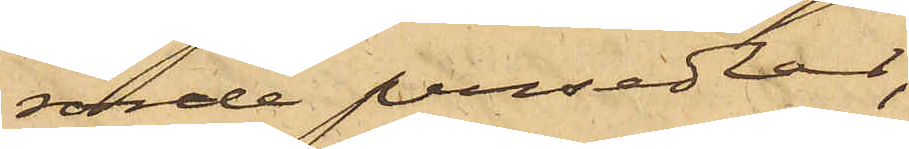rörde persedlar,
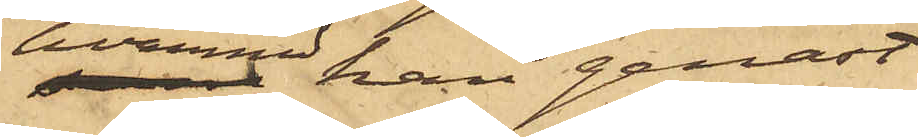hvarmed han genast
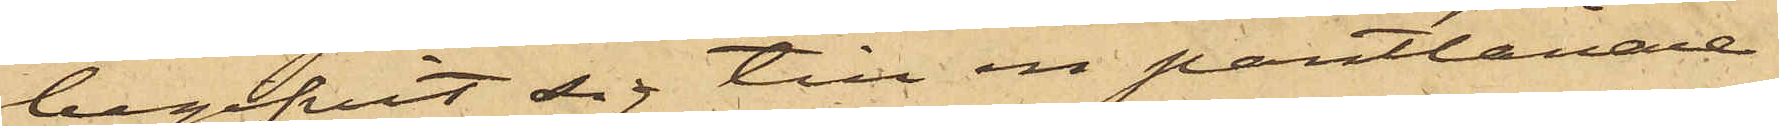begifvit sig till en pantlånare.
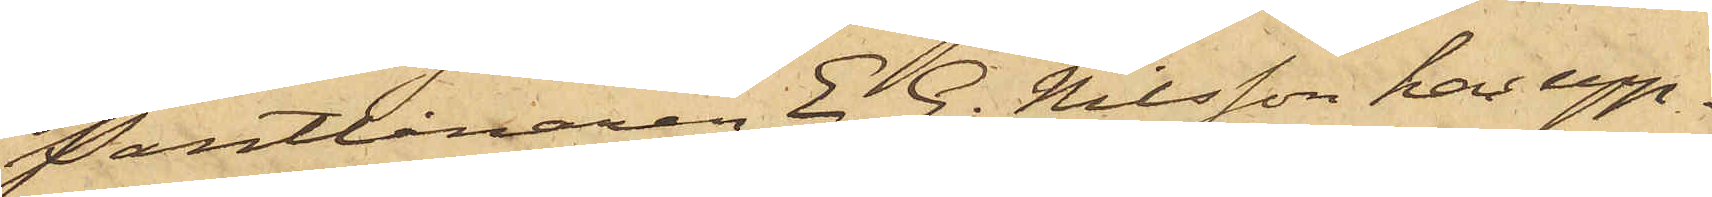Pantlånaren E. G. Nilsson har upp¬
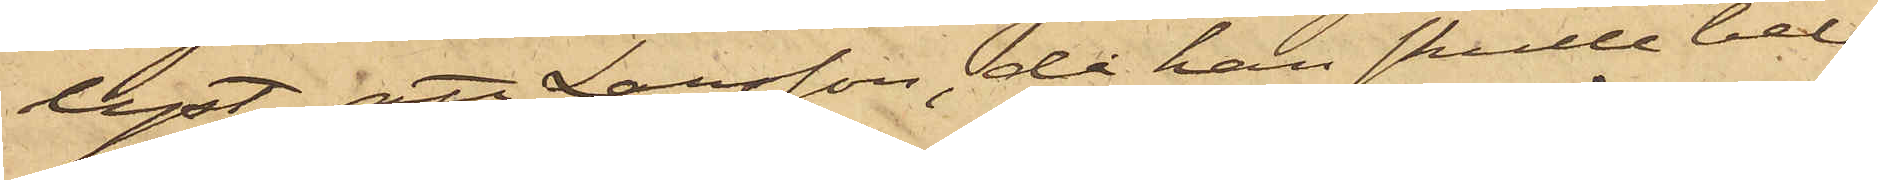lyst, att Larsson, då han skulle belå¬
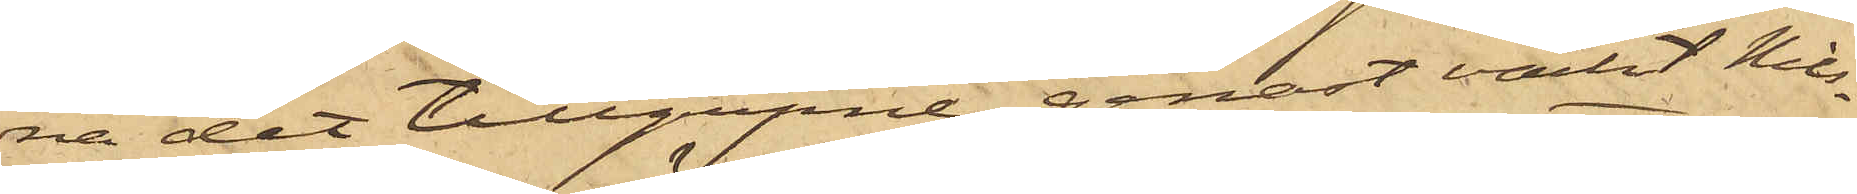na det tillgripne genast väckt Nils¬
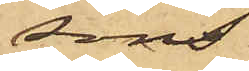sons
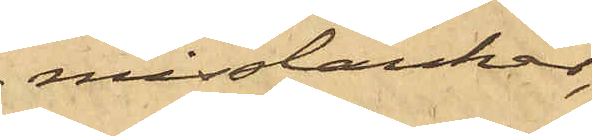misstankar,
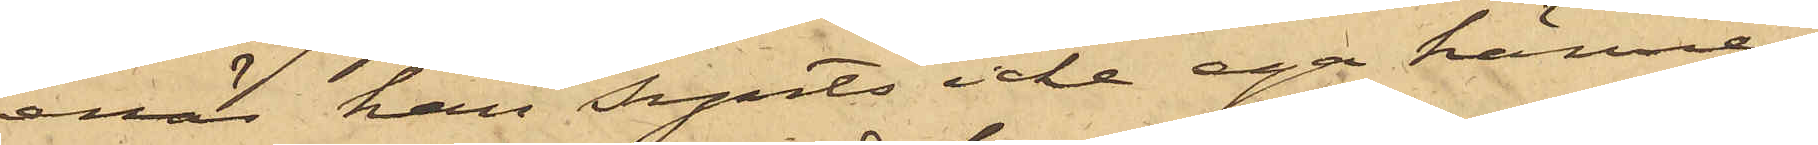enär han synts icke ega känne¬
